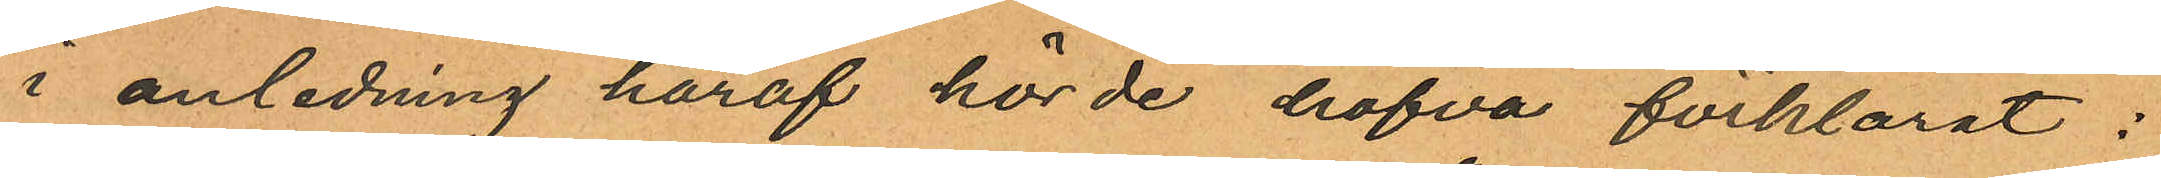i anledning häraf hörde hafva förklarat :
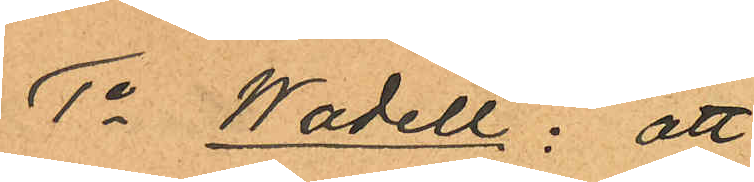1o Wadell: att
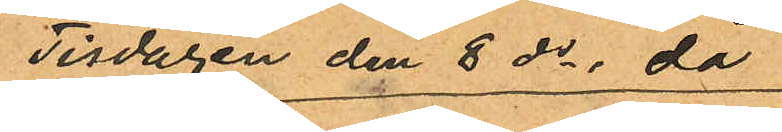Tisdagen den 8 ds då
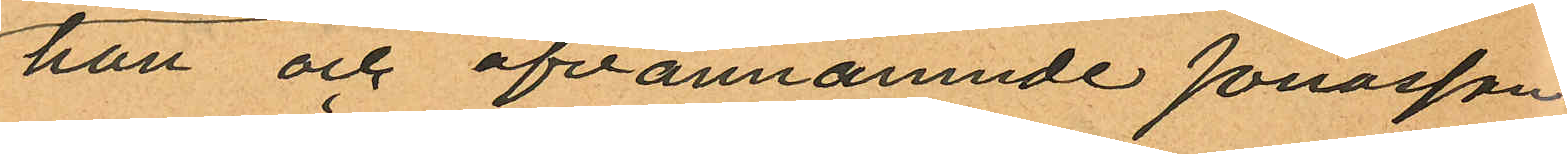han och ofvannämnde Jonasson
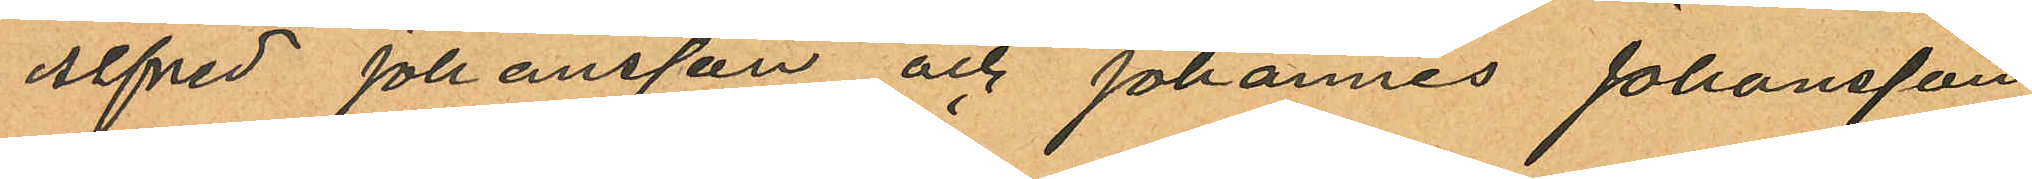Alfred Johansson och Johannes Johansson
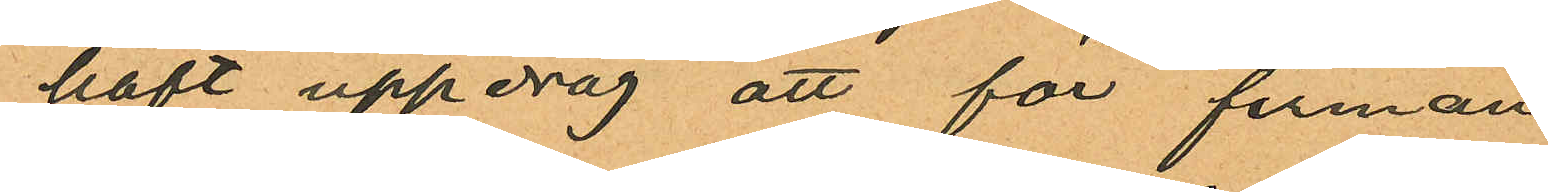haft uppdrag att för firman
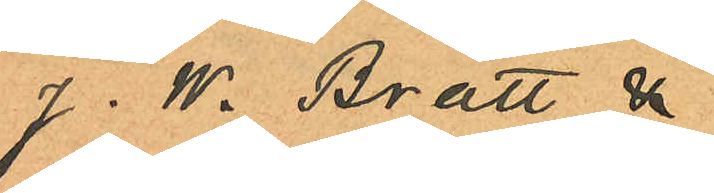J. W. Bratt &
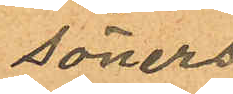Söners
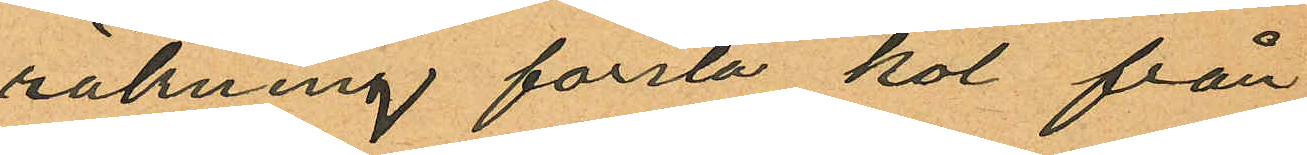räkning forsla kol från
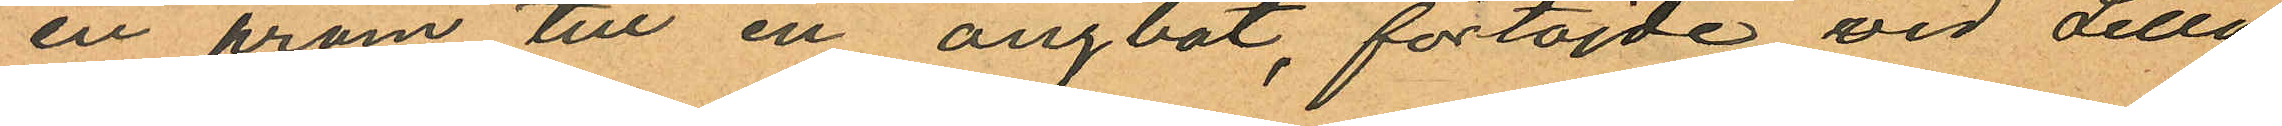en pråm till en ångbåt, förtöjde vid Lilla
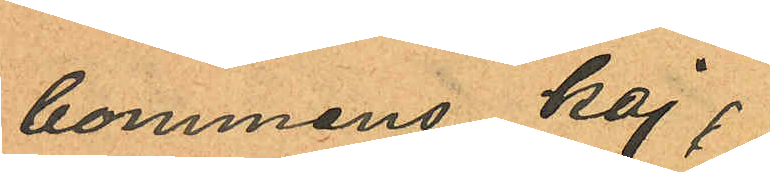bommens kaj;
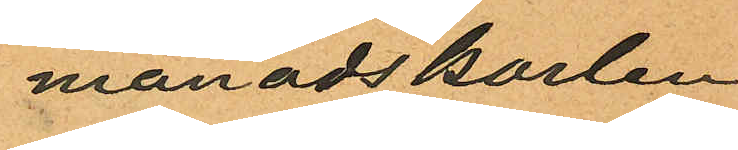månadskarlen
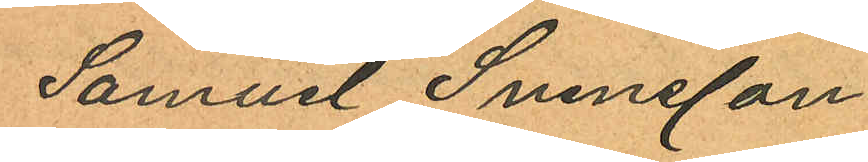Samuel Svensson
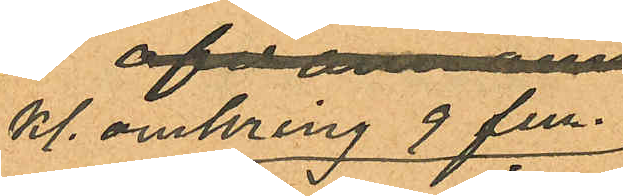Kl. omkring 9 fm.
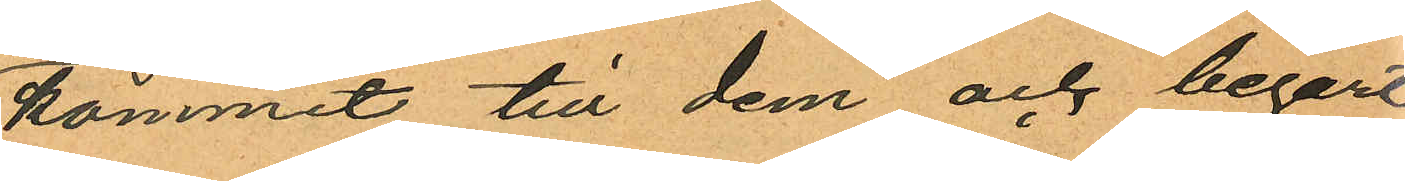kommit till dem och begärt
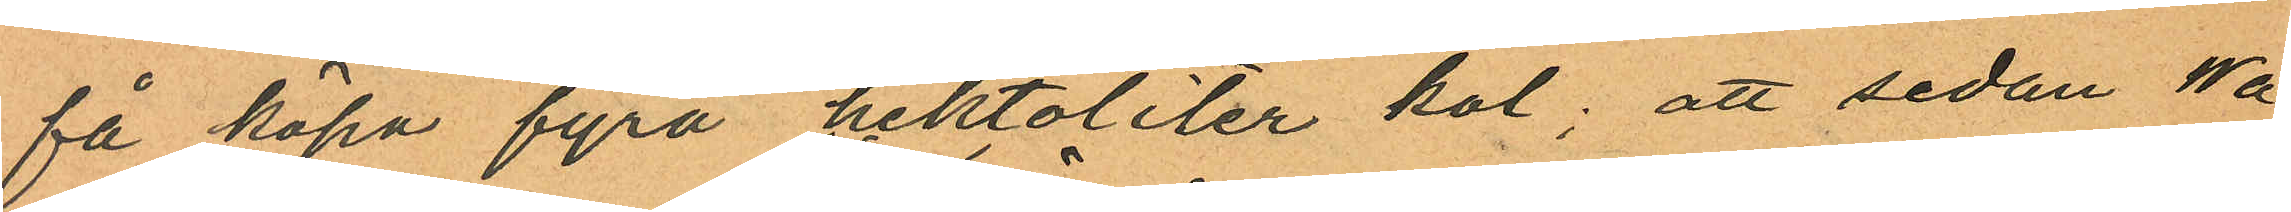få köpa fyra hektoliter kol; att sedan Wa¬
